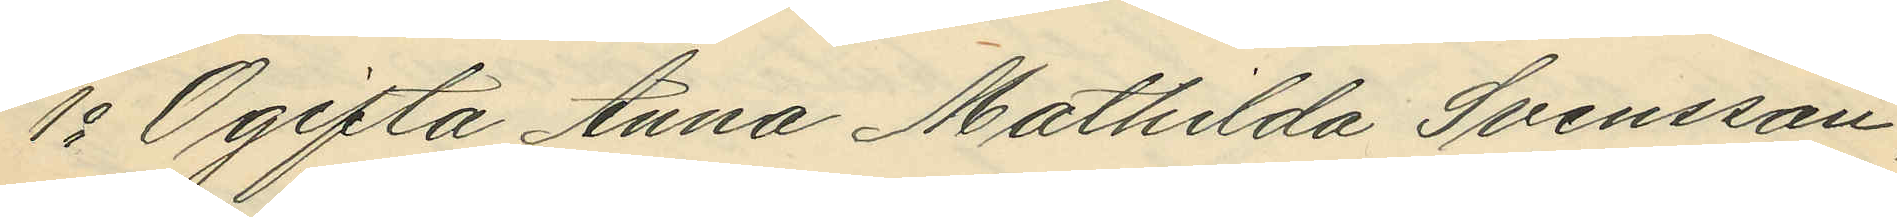1o Ogifta Anna Mathilda Svensson,
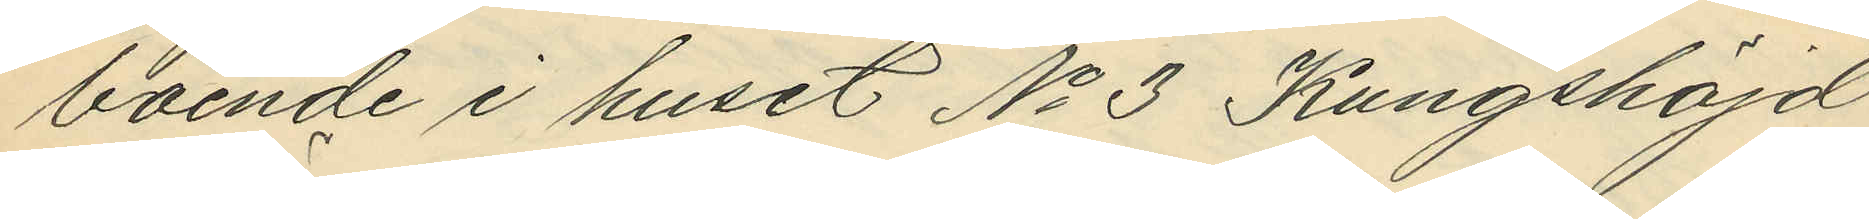boende i huset No 3 Kungshöjd
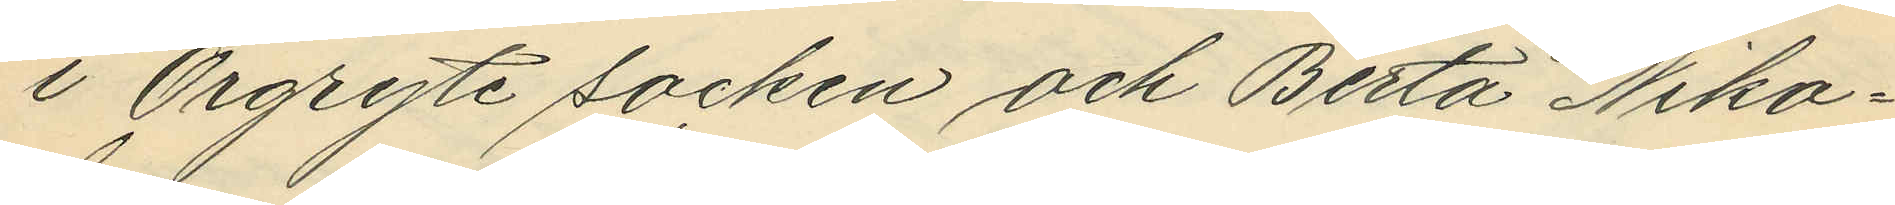i Örgryte socken och Berta Niko¬
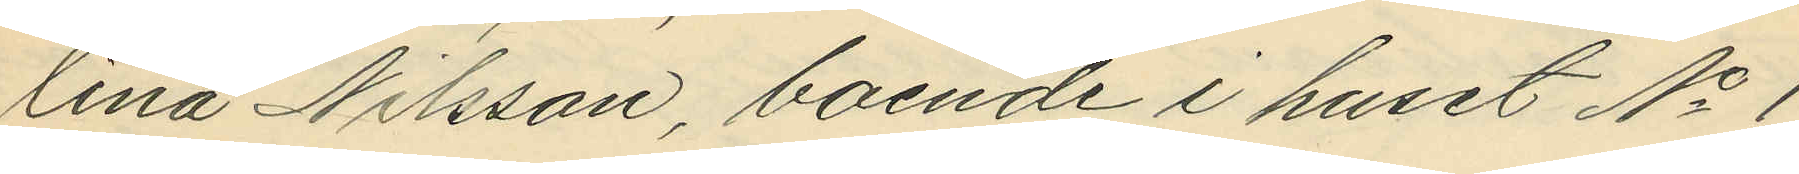lina Nilsson, boende i huset No 1
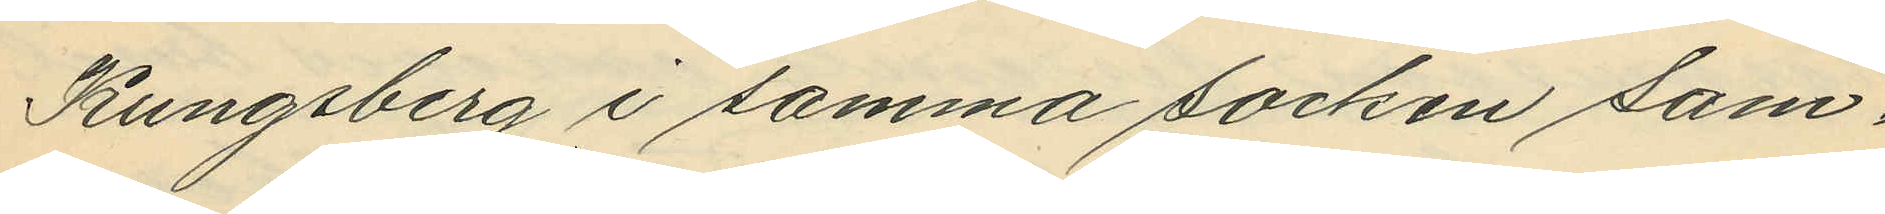Kungsberg i samma socken sam¬
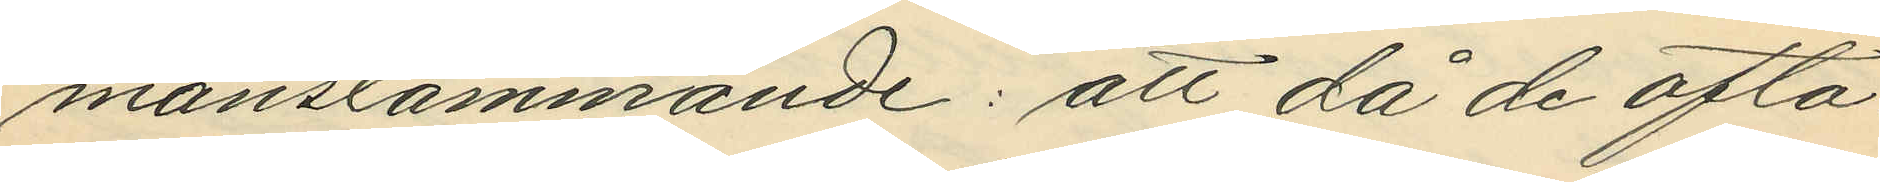manstämmande: att då de ofta¬
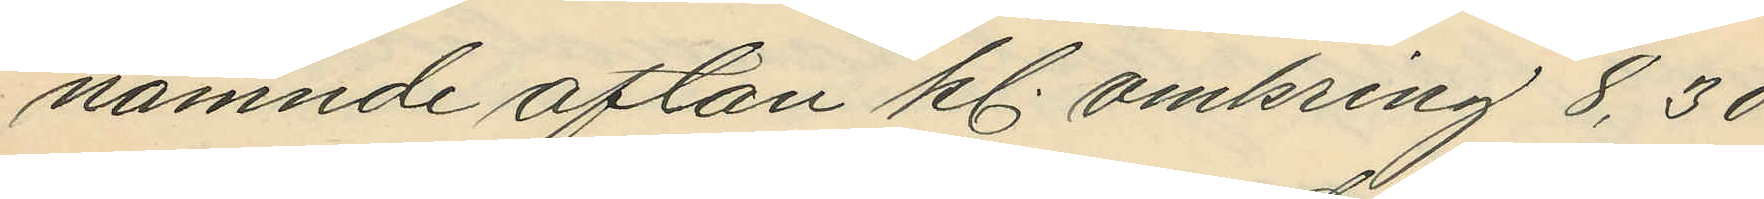nämnde afton kl. omkring 8,30
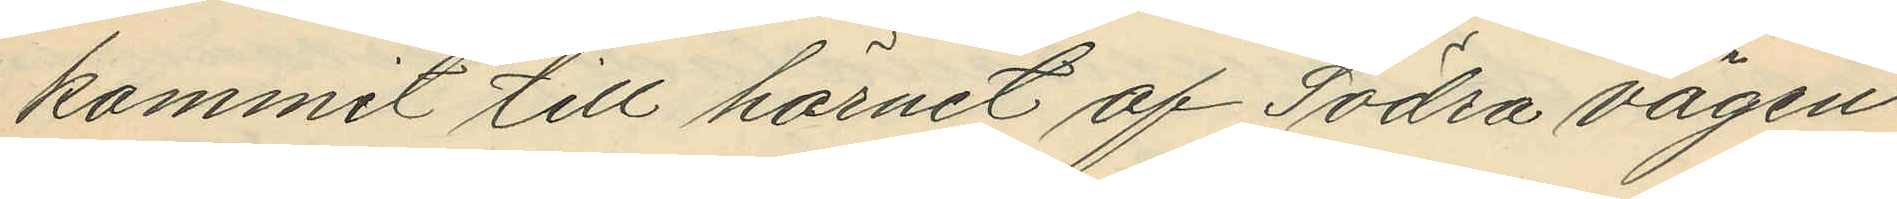kommit till hörnet af Södra vägen
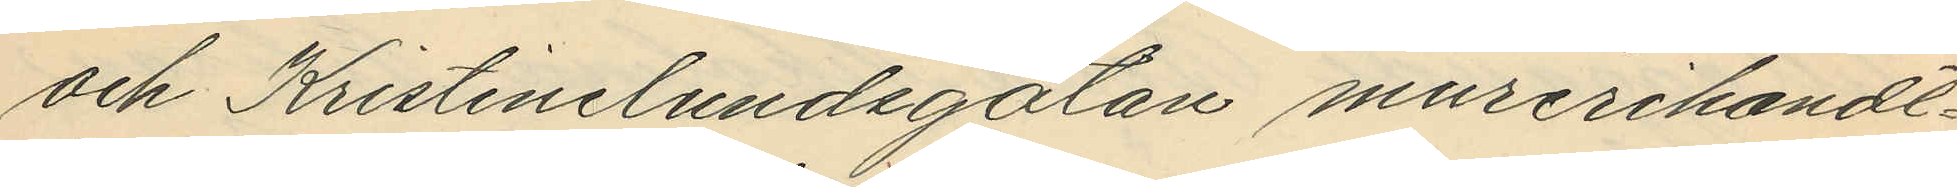och Kristinelundsgatan murerihandt¬
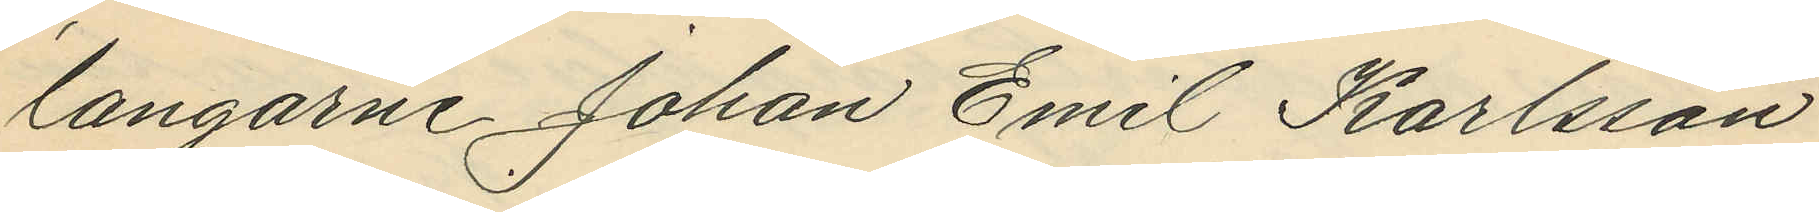langarne Johan Emil Karlsson
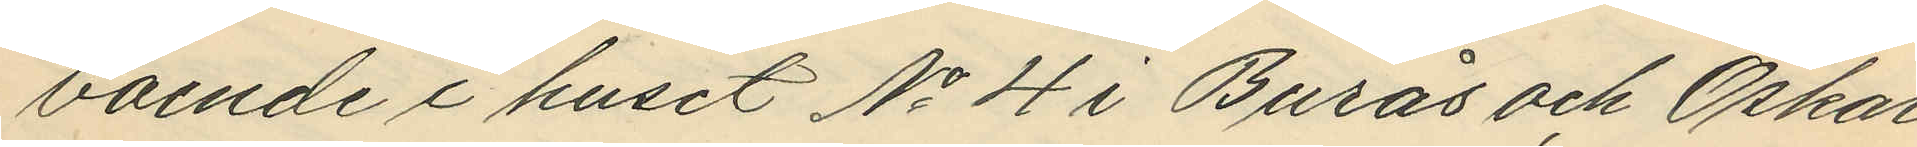boende i huset No 4 i Burås och Oskar
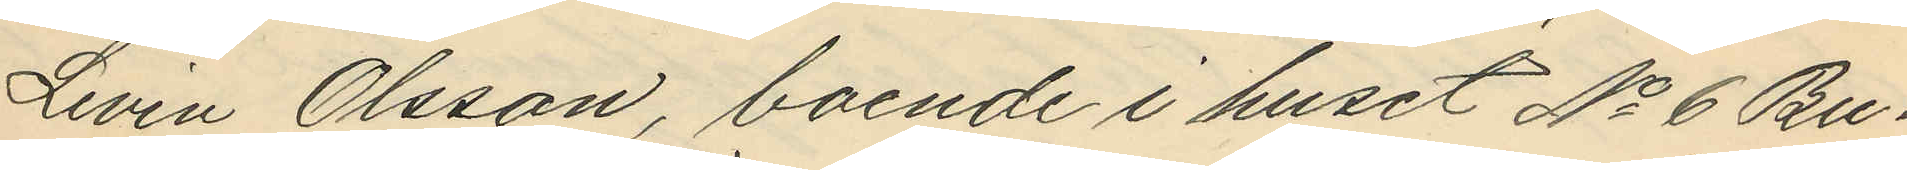Levin Olsson, boende i huset No 6 Bu¬
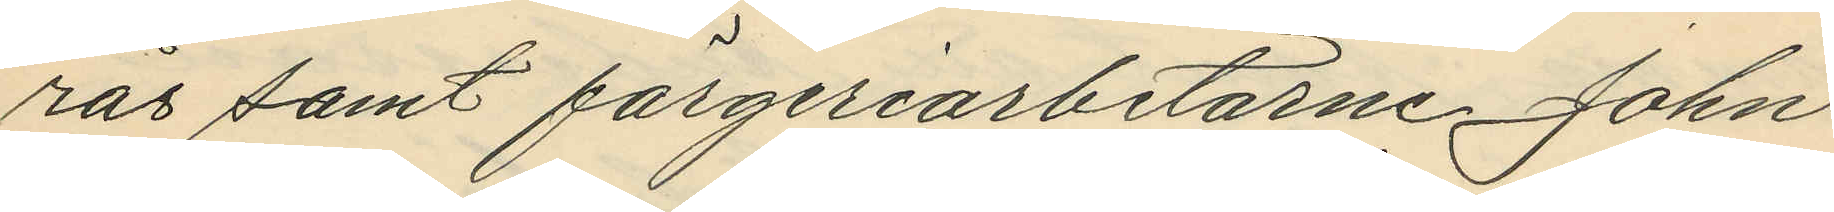rås samt färgeriarbetarne John
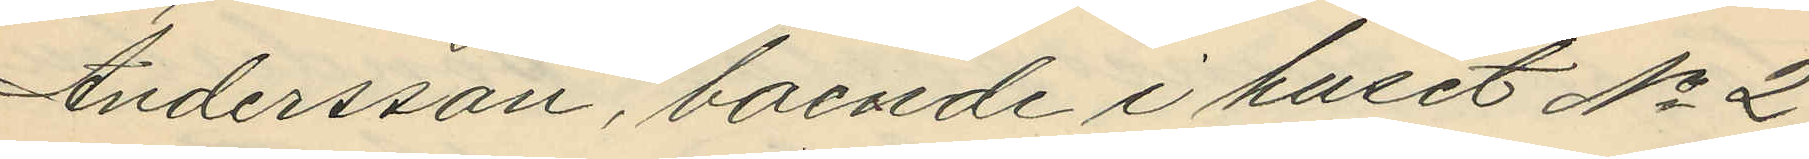Andersson, boende i huset No 2
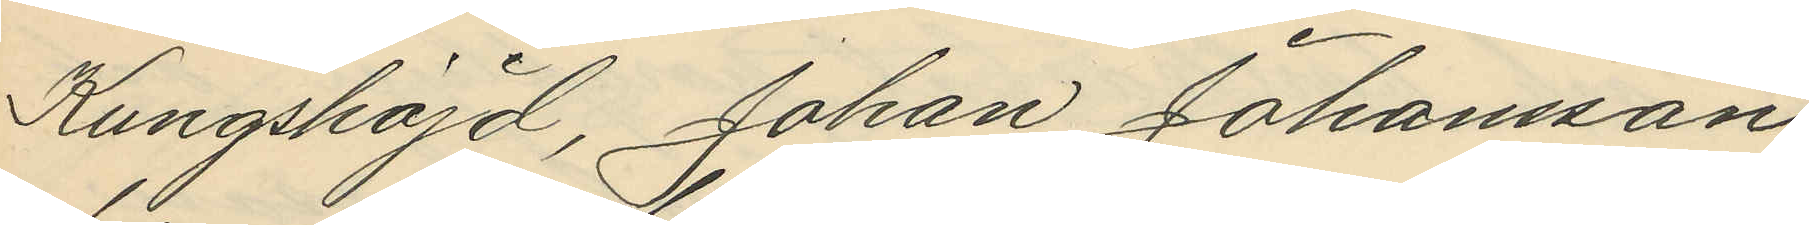Kungshöjd, Johan Johansson
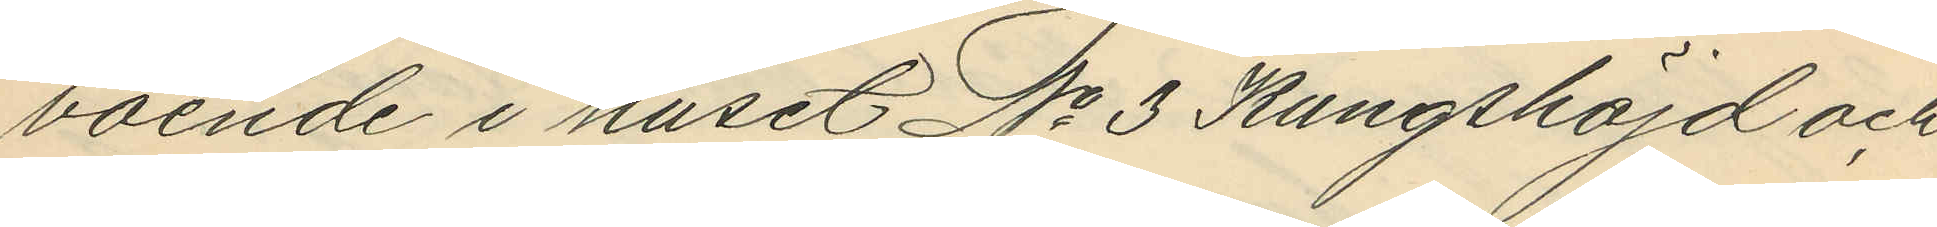boende i huset No 3 Kungshöjd och
